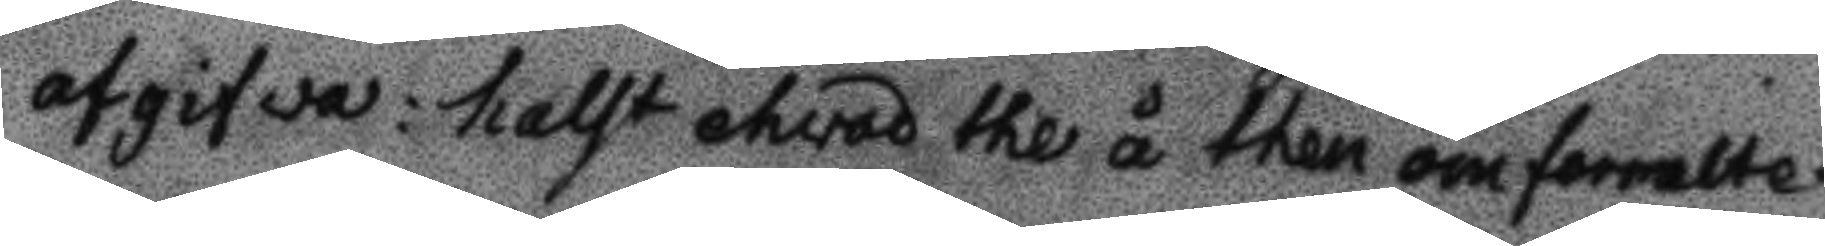afgifwa: halst ehvad the å then omformelte
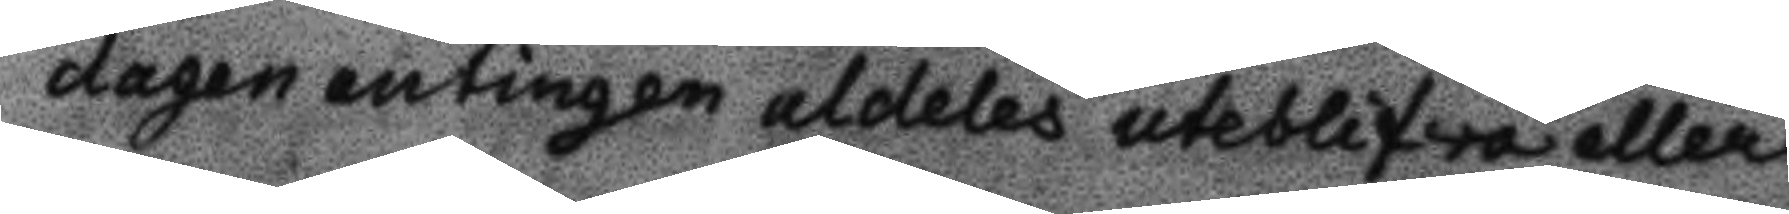dagen antingen aldeles uteblifwa eller
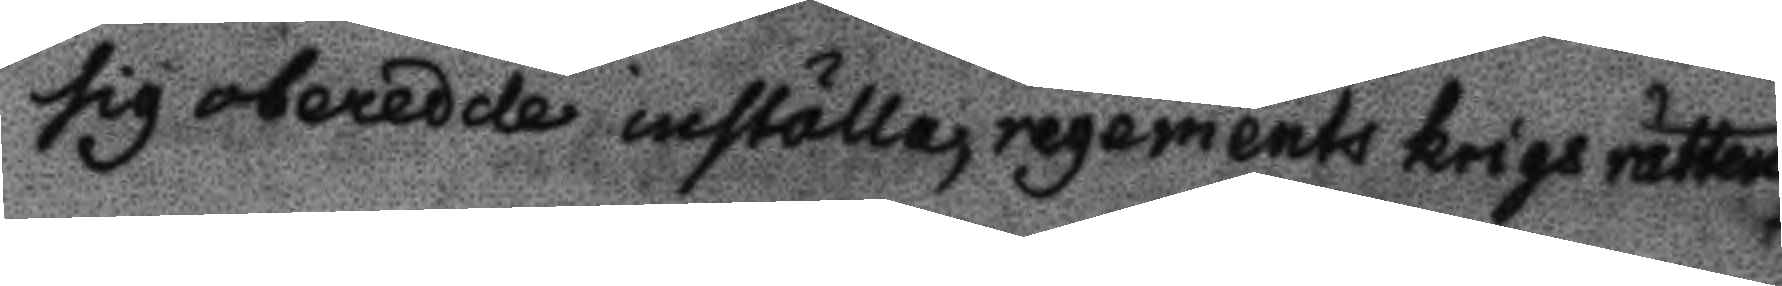sig onerede inställa, regements krigs rättens
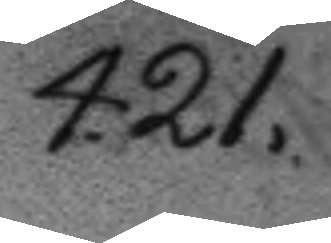421.
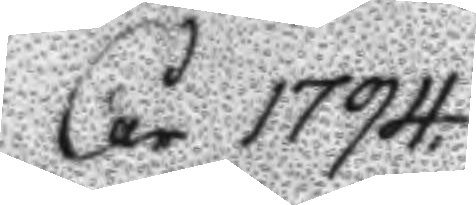År 1794
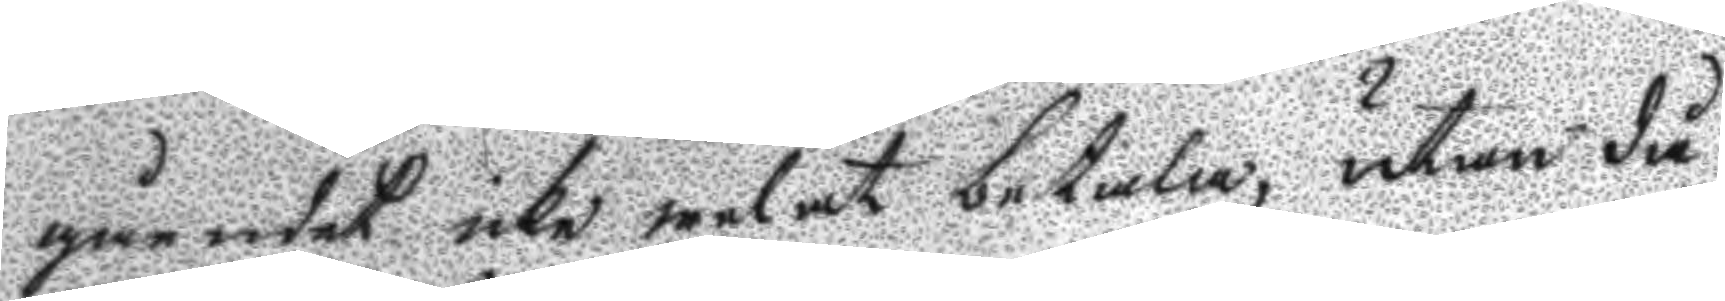gåendet icke welat betala, utan då
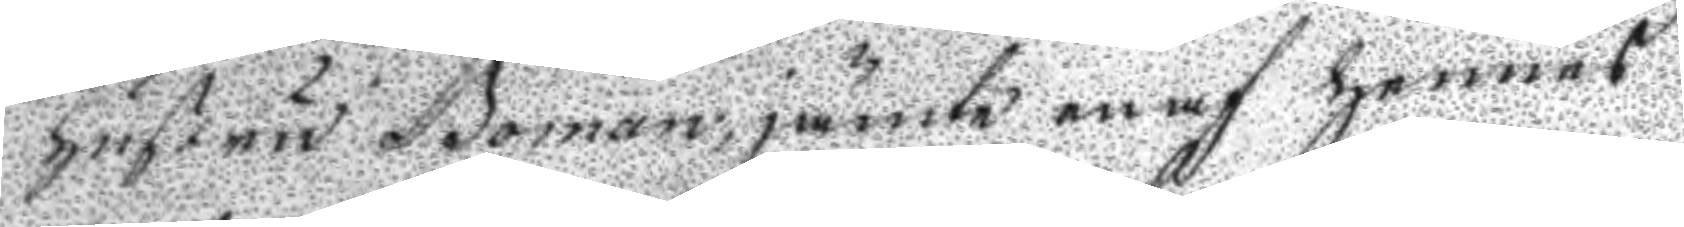hustru Boman, jämte en af hennes
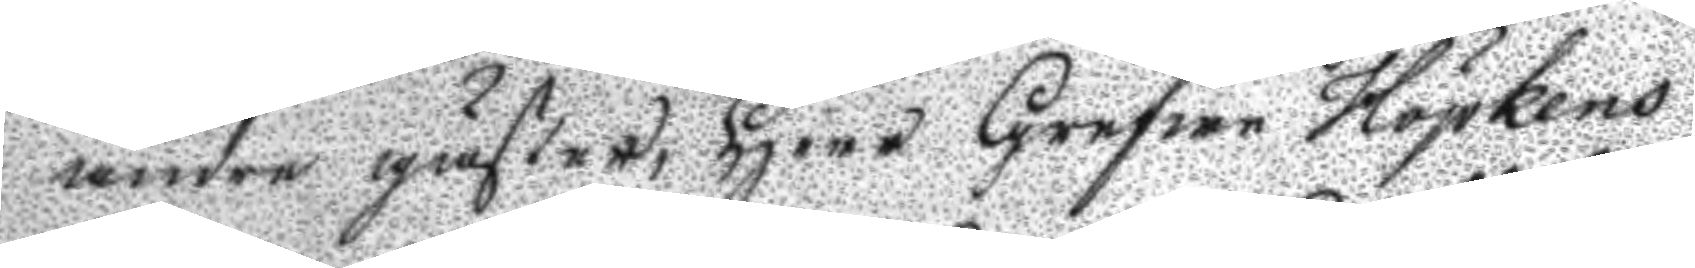andre gäster, Herr Grefwe Höpkens
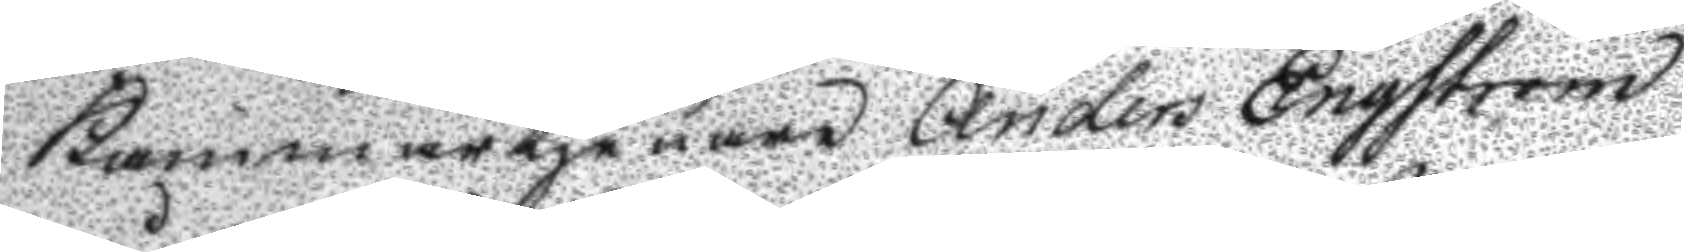kammartjenare Anders Engström
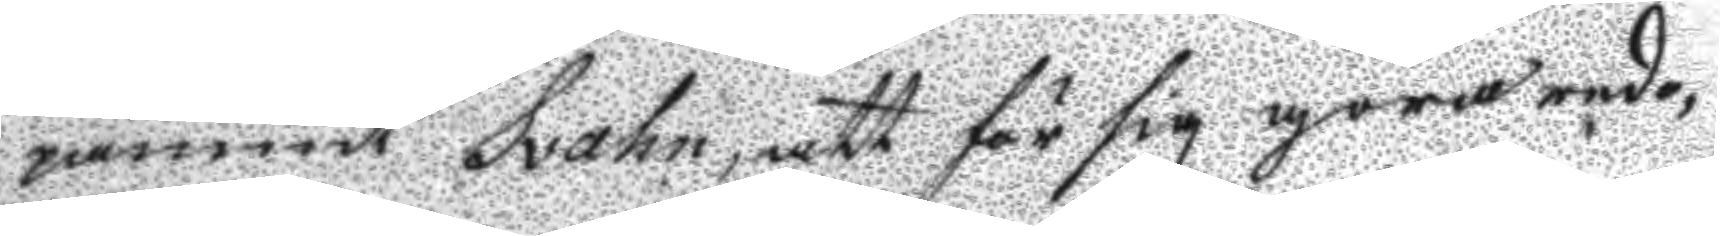påmint Svahn, att för sig göra redo,
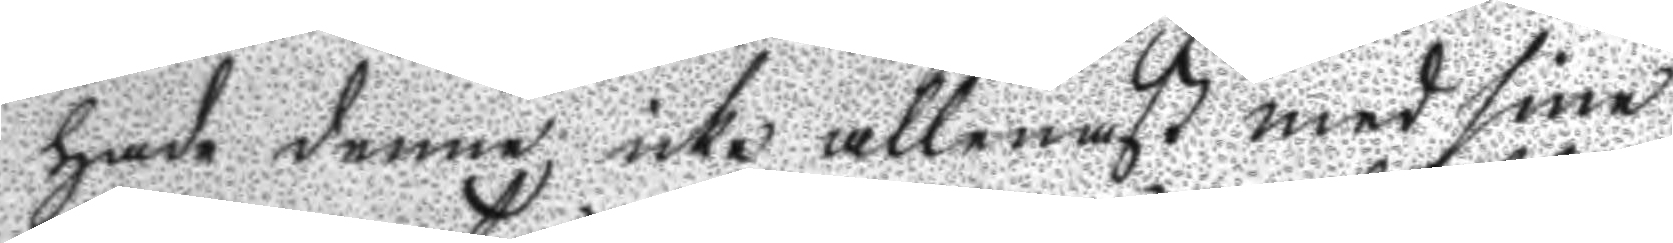hade denne icke allenast med sine
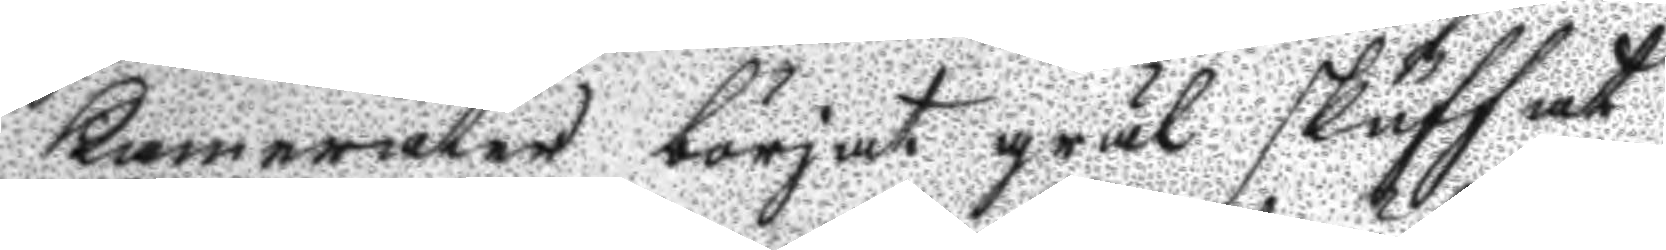kanerater börjat gräl skuffat
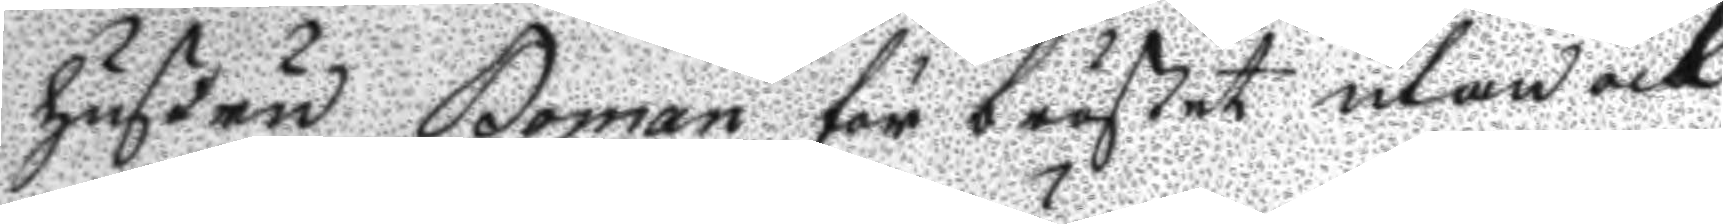hustru Boman för bröstet utan ock
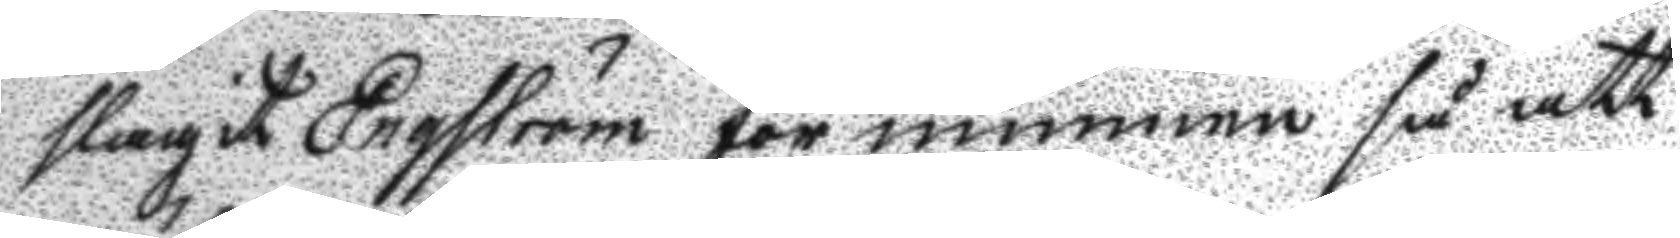slagit Engström för munnen så att
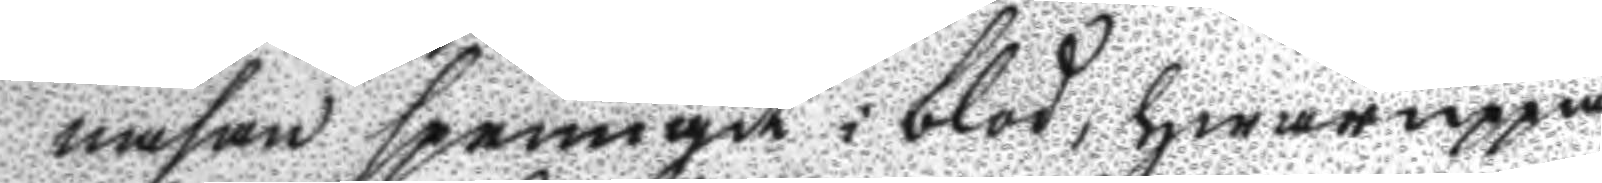näsan sprungit i blod, hwaruppå
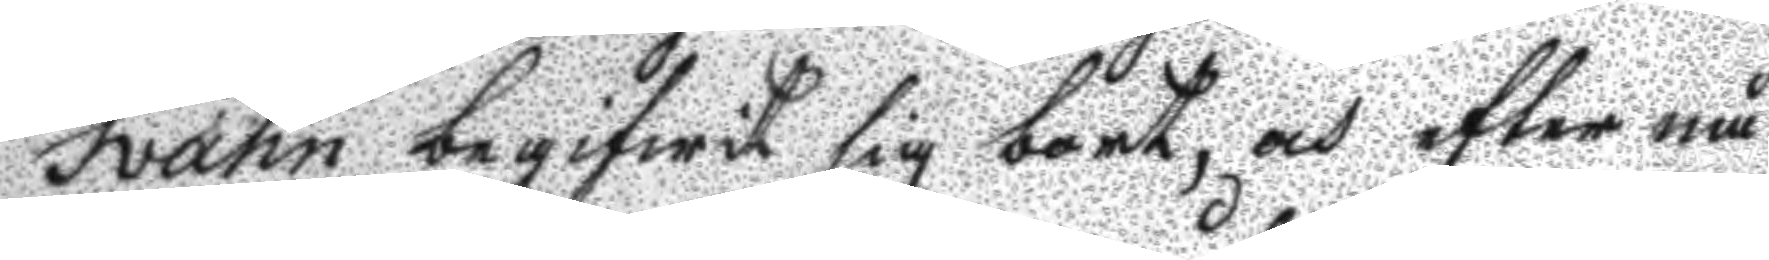Svahn begifwit sig nort, och efter nå¬
